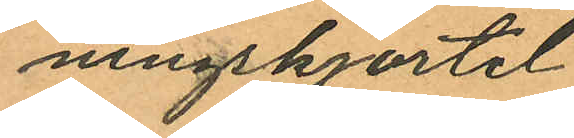ningskjortel
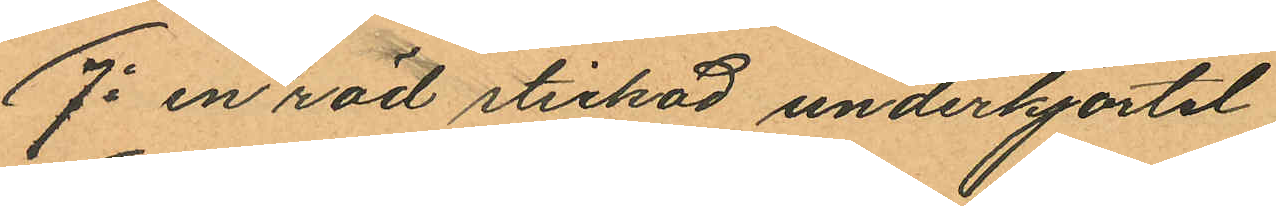7o en röd stickad underkjortel
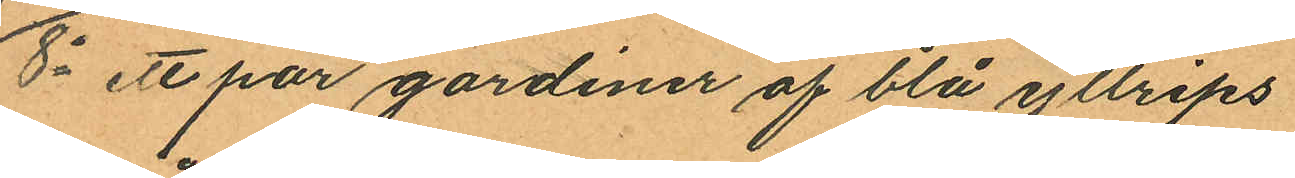8o ett par gardiner af blå yllrips
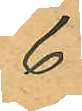6
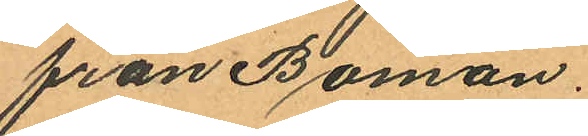från Boman.
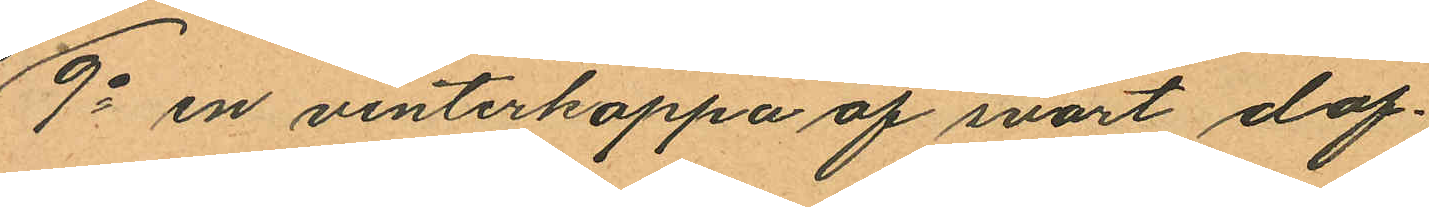9o en vinterkappa af svart dof¬
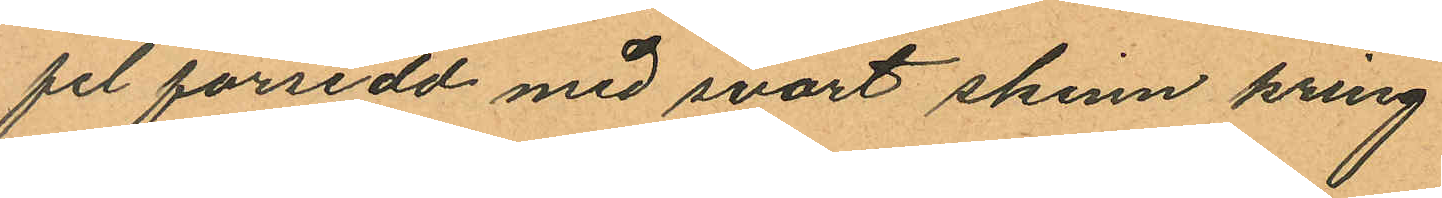fel försedd med svart skinn kring
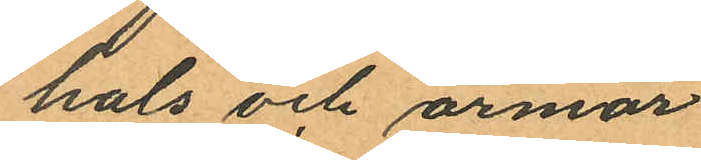hals och ärmar
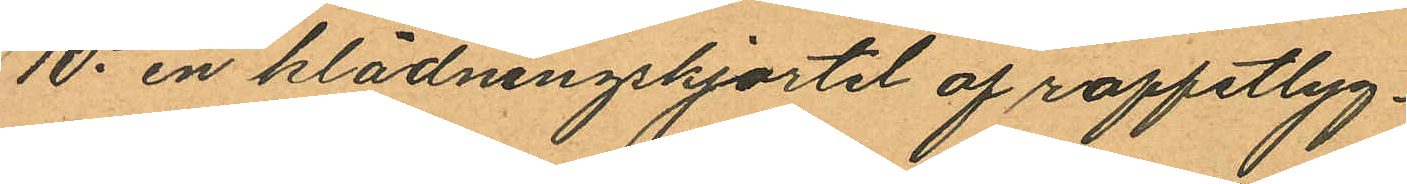10o en klädningskjortel af roffeltyg
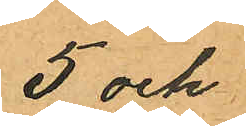5 och
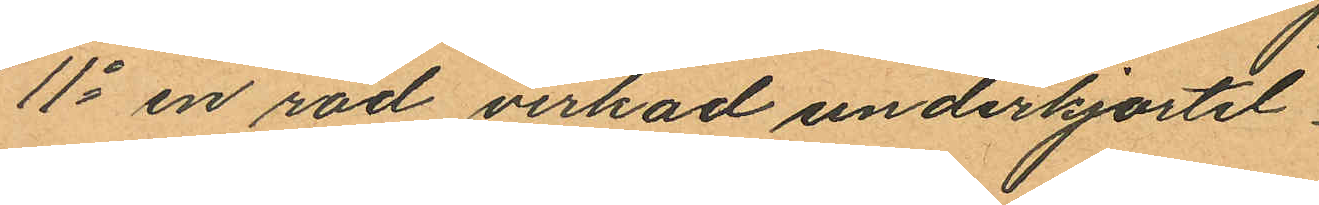11o en röd virkad underkjortel
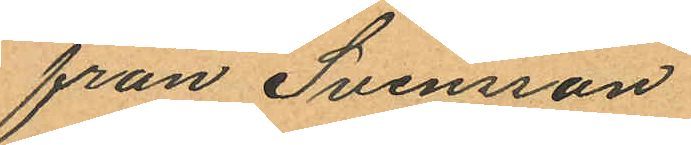från Svenson
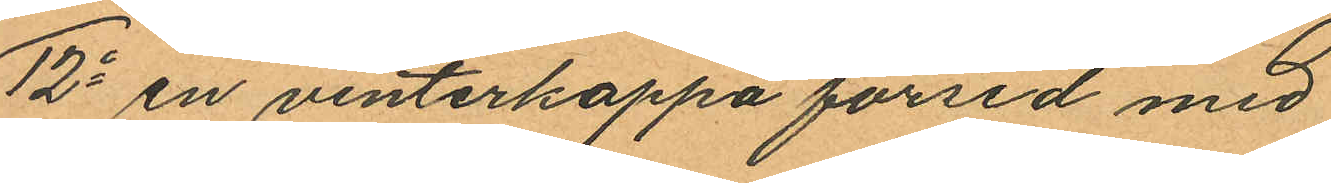12o en vinterkappa försed med
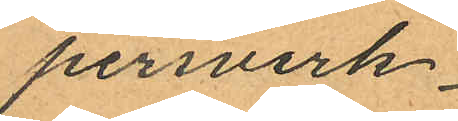persverk
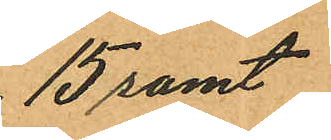15 samt
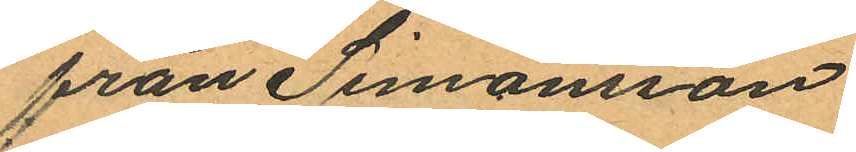från Simonsson
